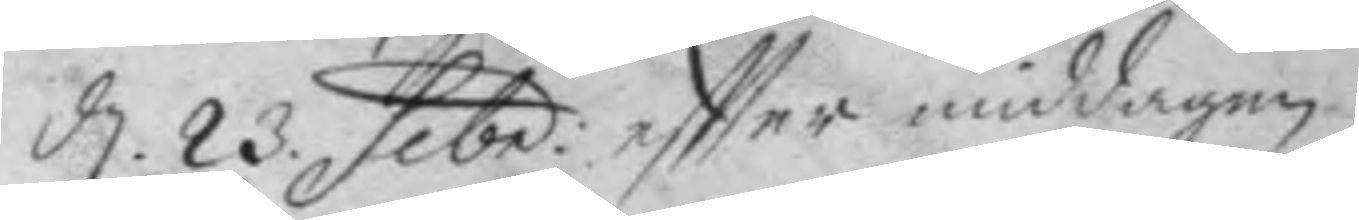d. 23. febr. eftter middagen.
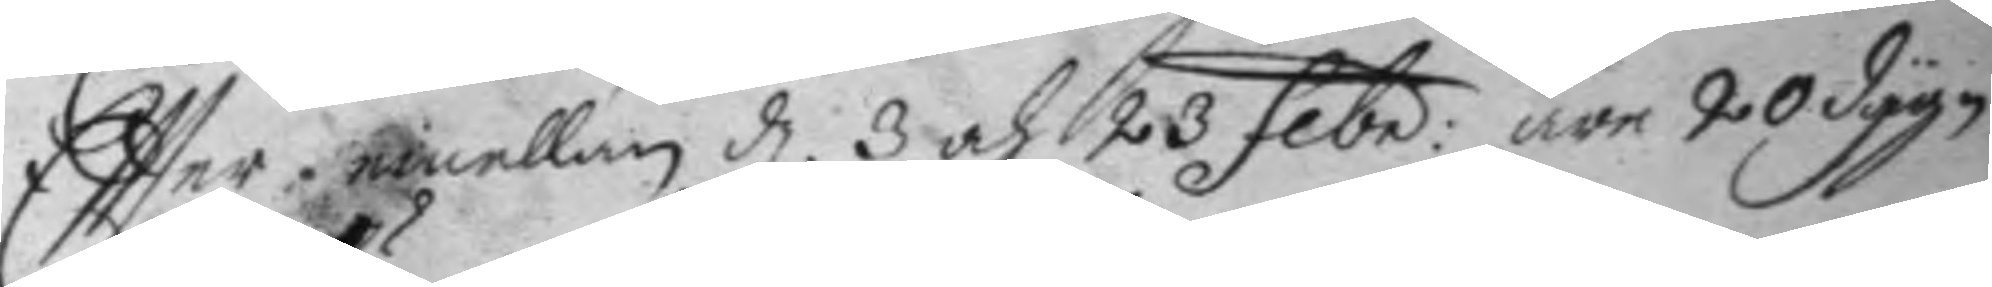Eftter emellan d. 3 och 23 febr: äre 20 dygn
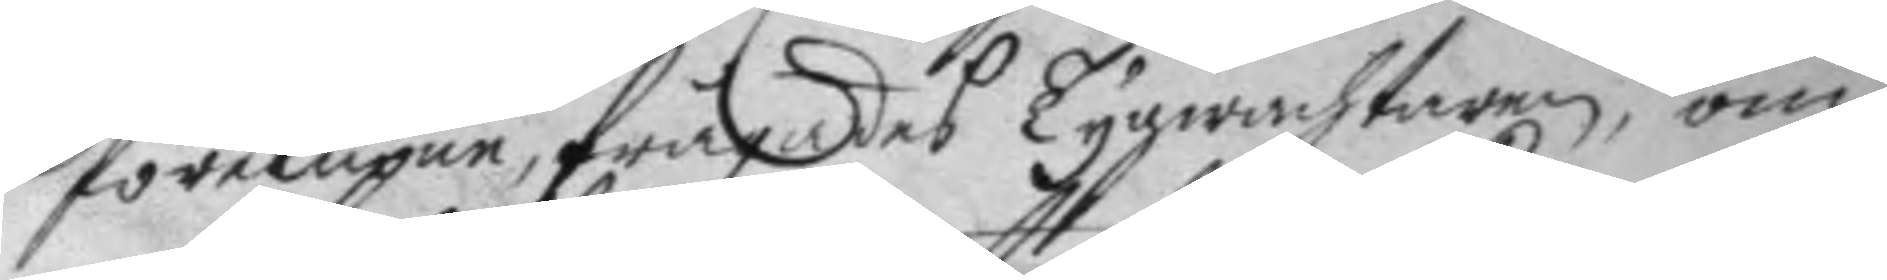förelupne, frågades Tygwachtaren, om
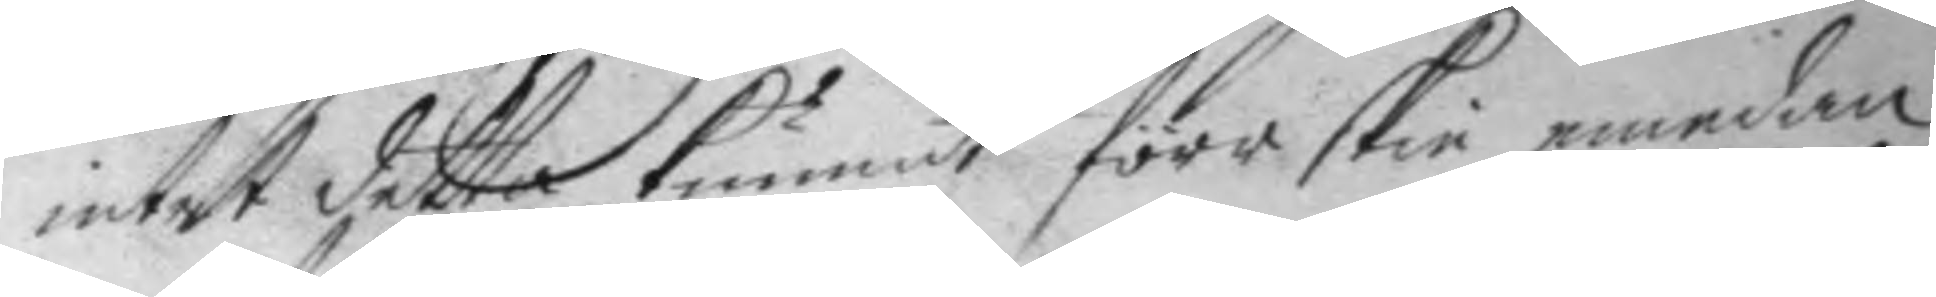intet detta kunnat förr skie emedan
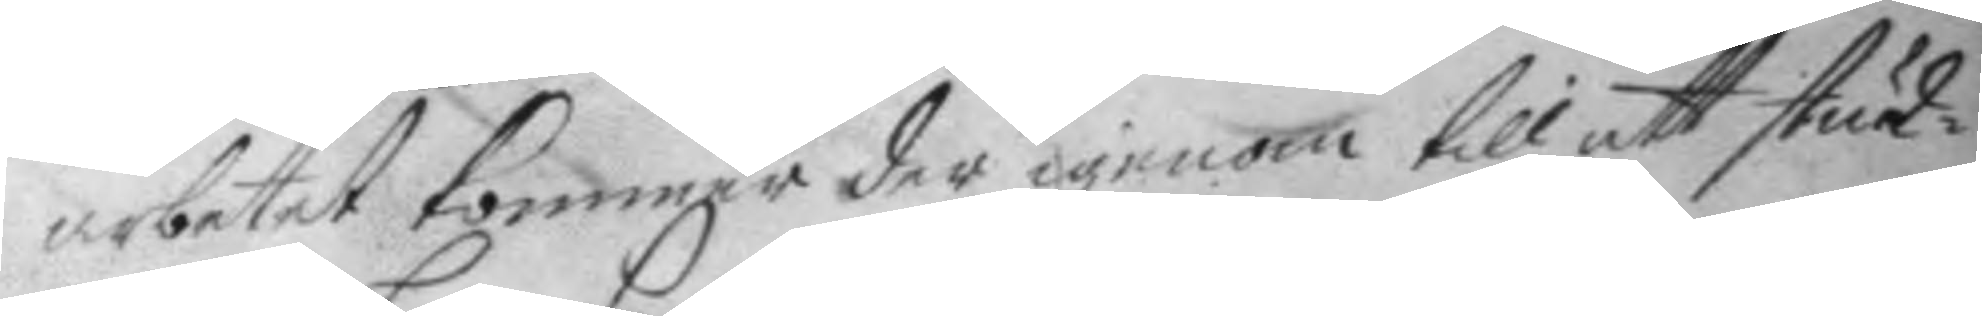arbetet kommer der igenom till at stud¬
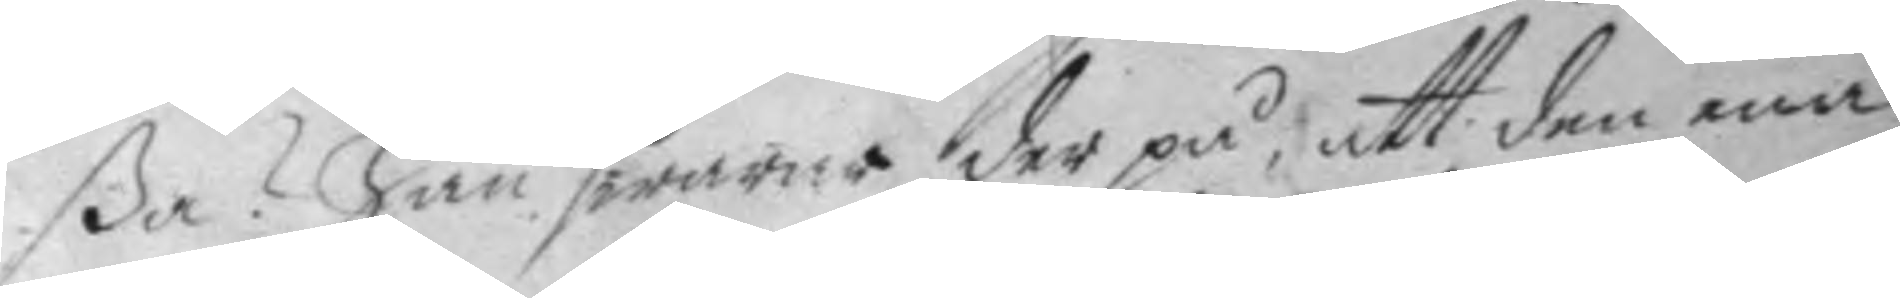ßa? han swarar der på, att den ena
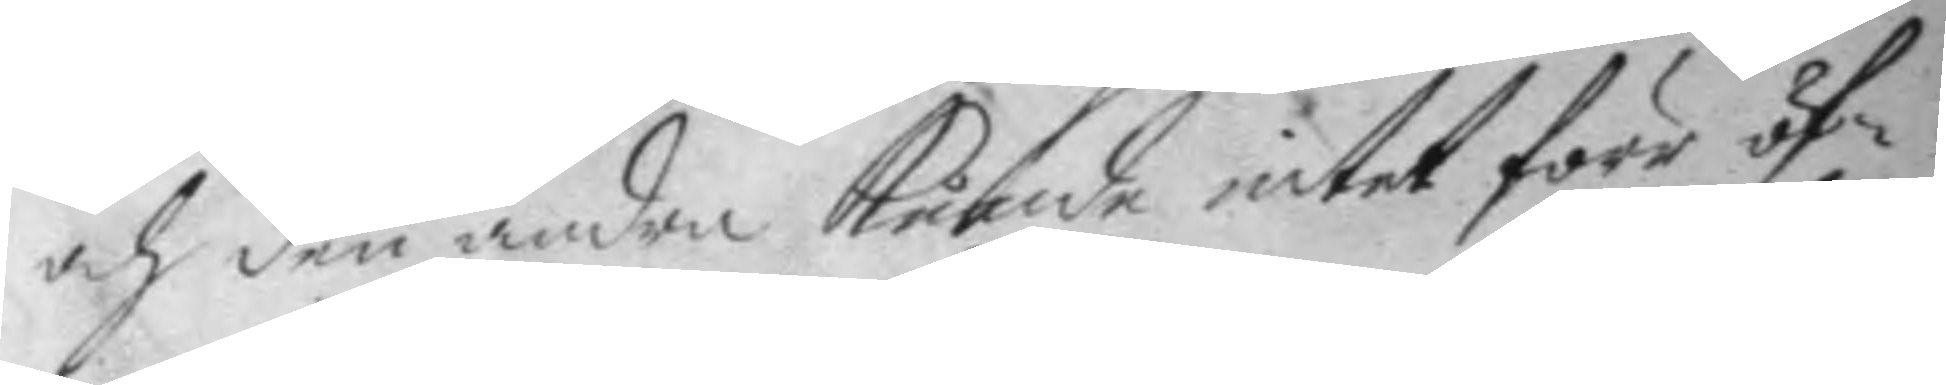och den andra kunde intet förr öf¬
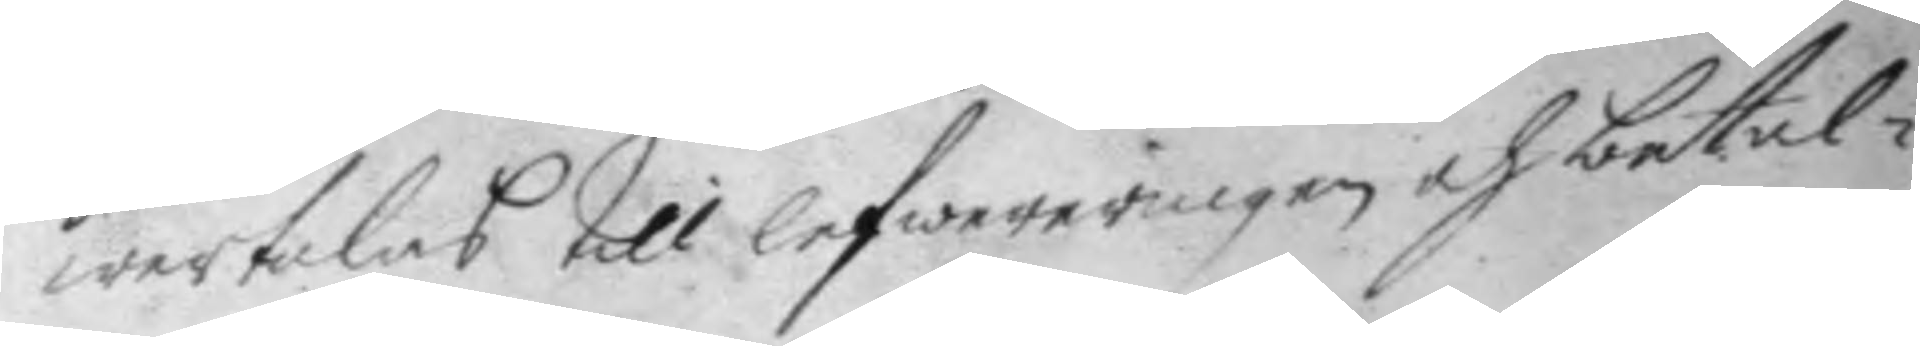wertalas till lefwereringen och betal¬
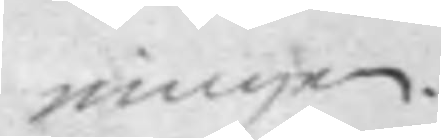ningen.
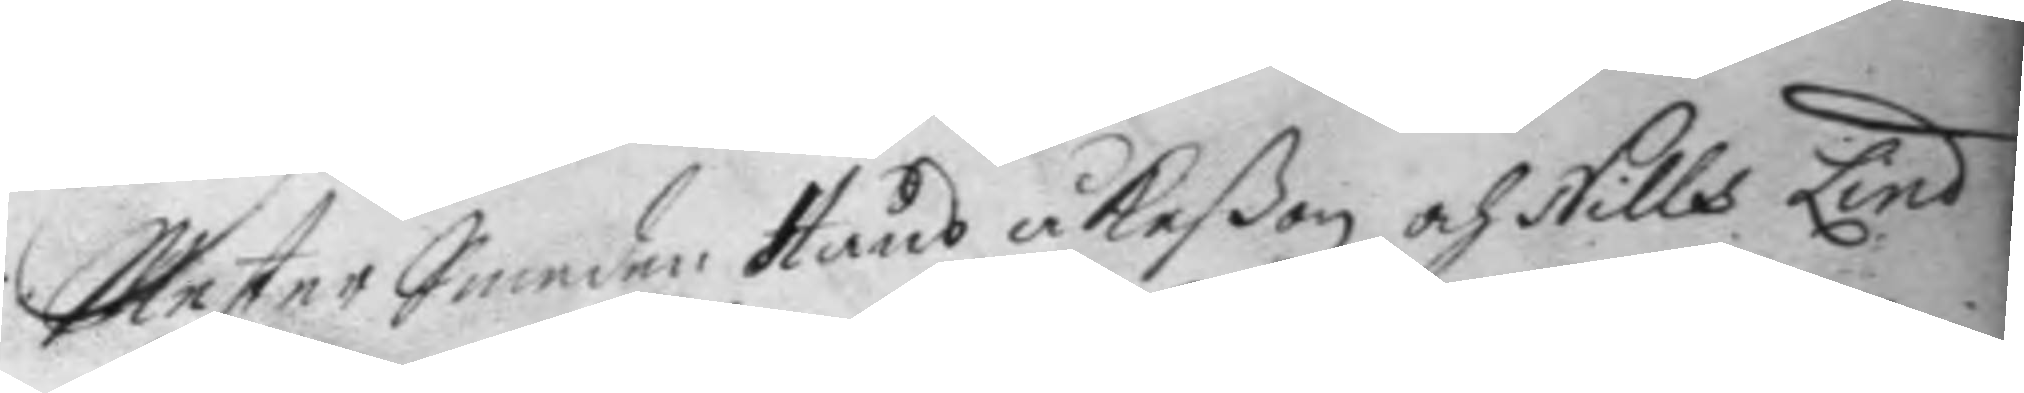Mester Smeden Hans åkeßon och Nills Lind
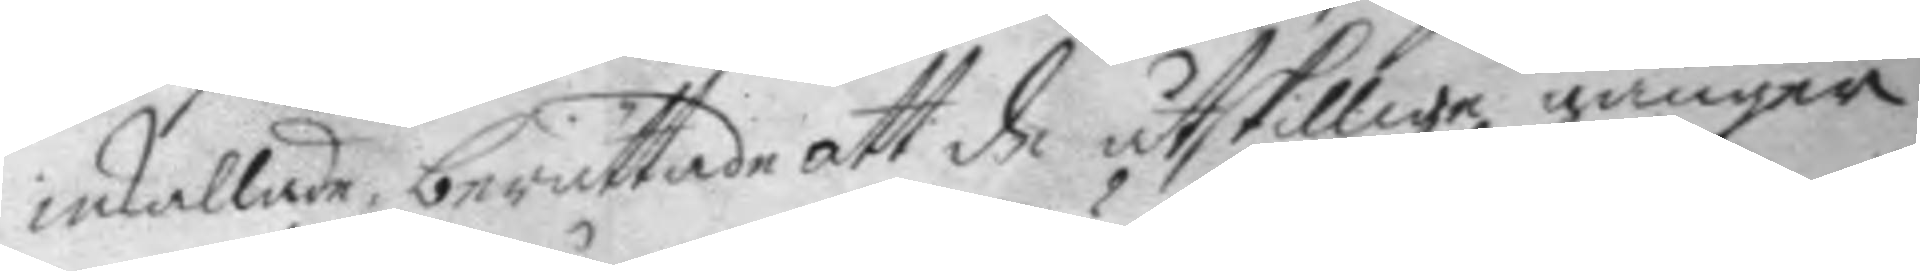inkallades, berättane att de åtskillige gånger
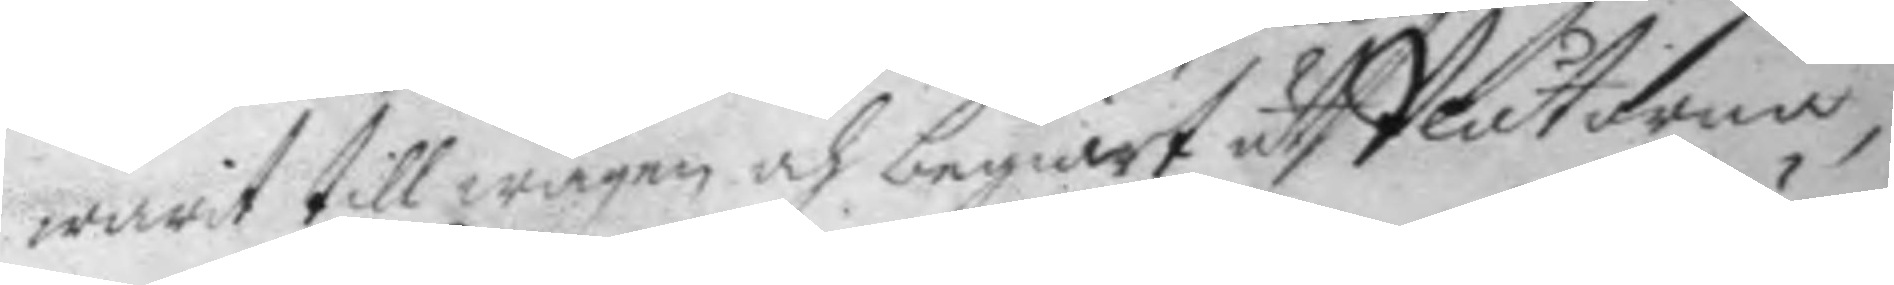warit till wågen och begärt uth Plåtarna
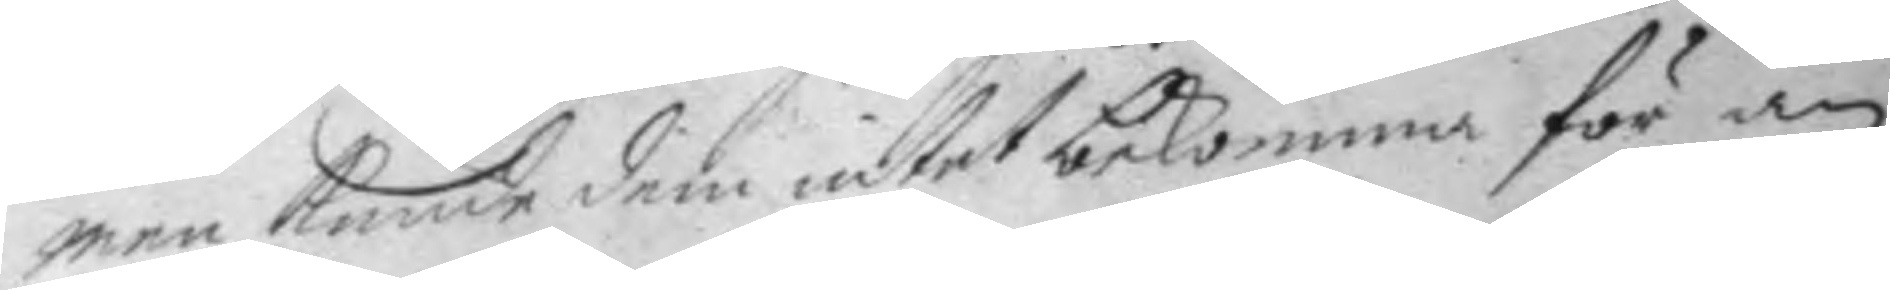men kunde dem intet bekomma för än
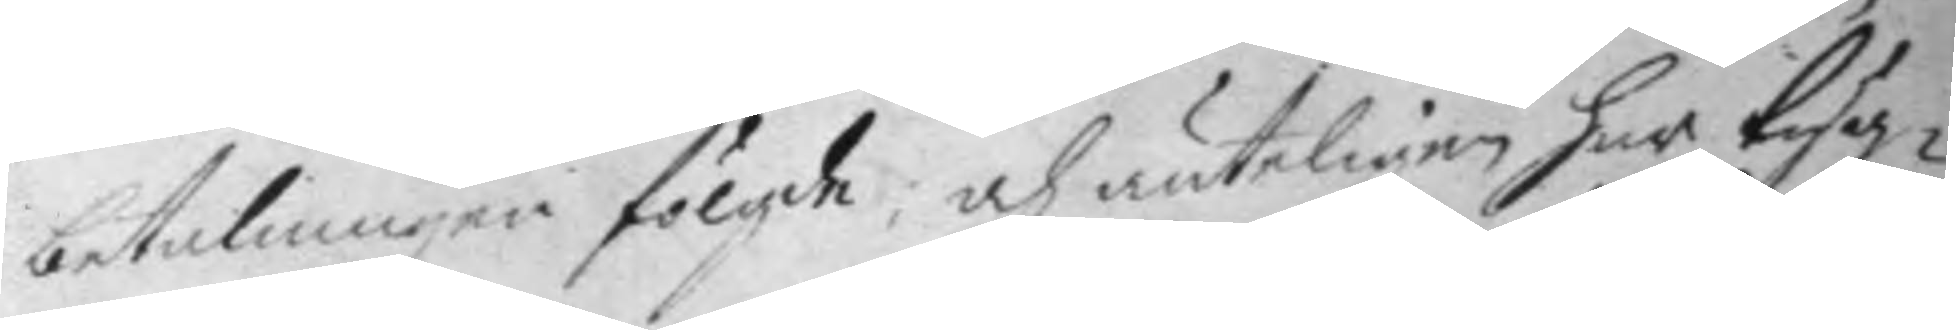betalningen fölgde, och änteligen har tyg¬
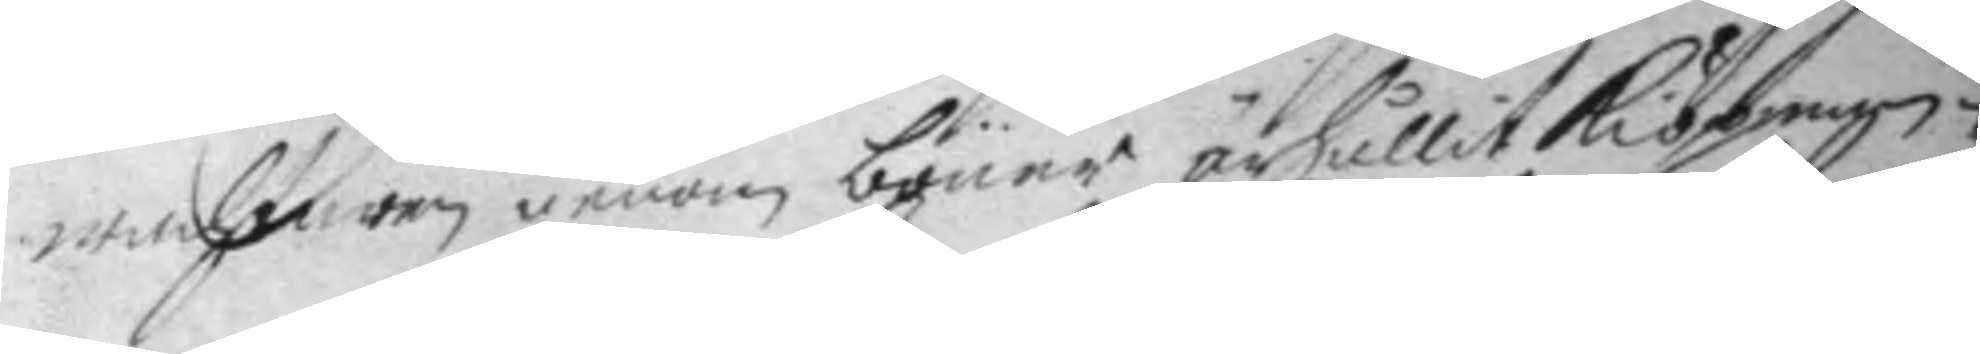wachtaren genom böner ärhållit kiöpman¬
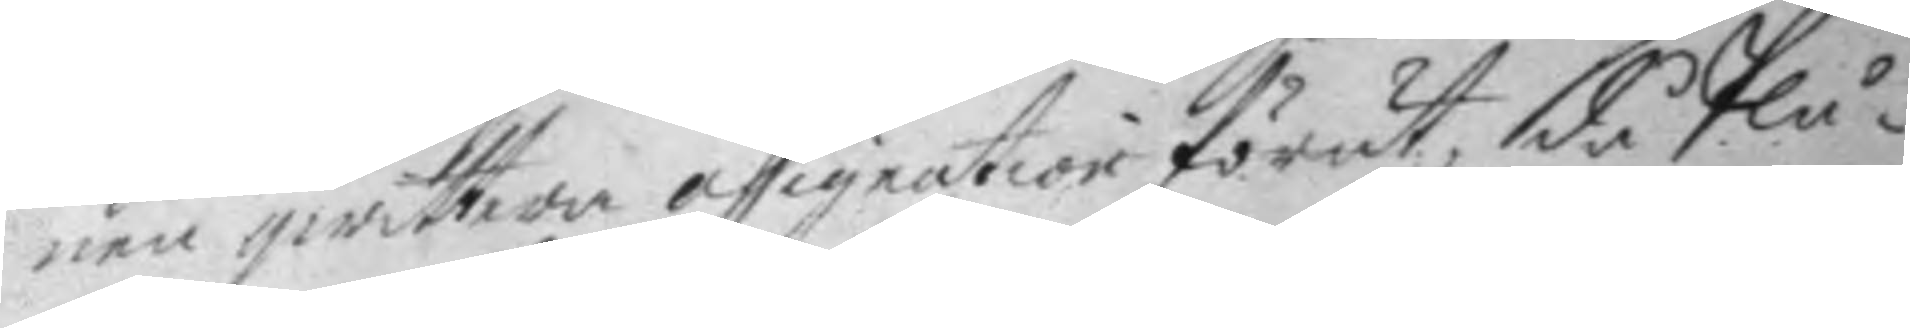nen qwittera assignation förut, då plå¬
